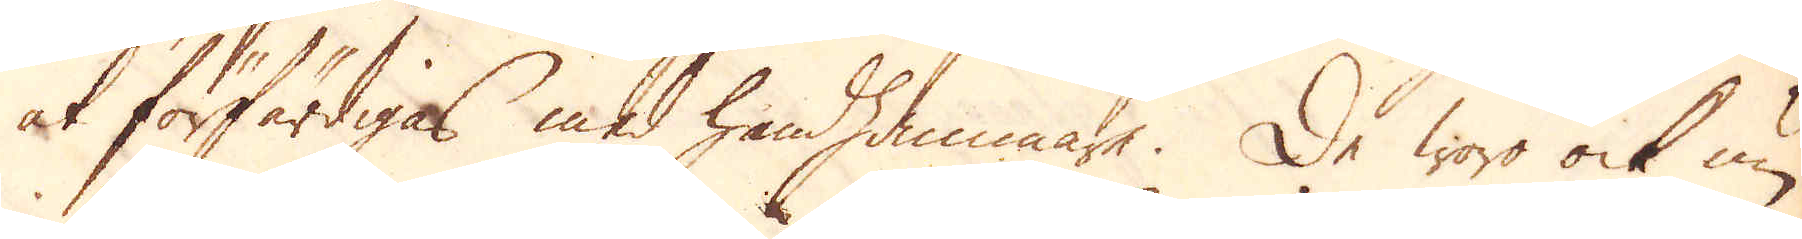at förfärdigas med handhammare. De woro ock nu
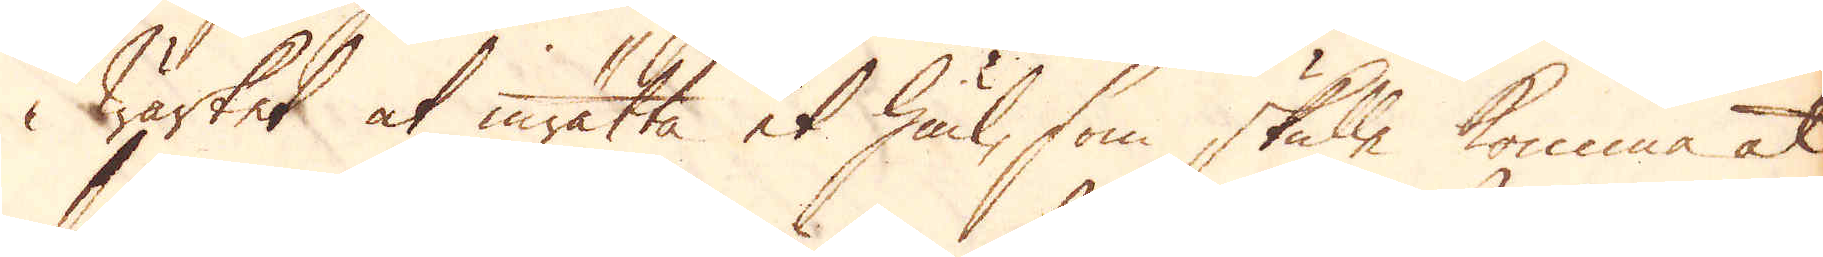i wärket at inrätta et hiul, som skulle komma at
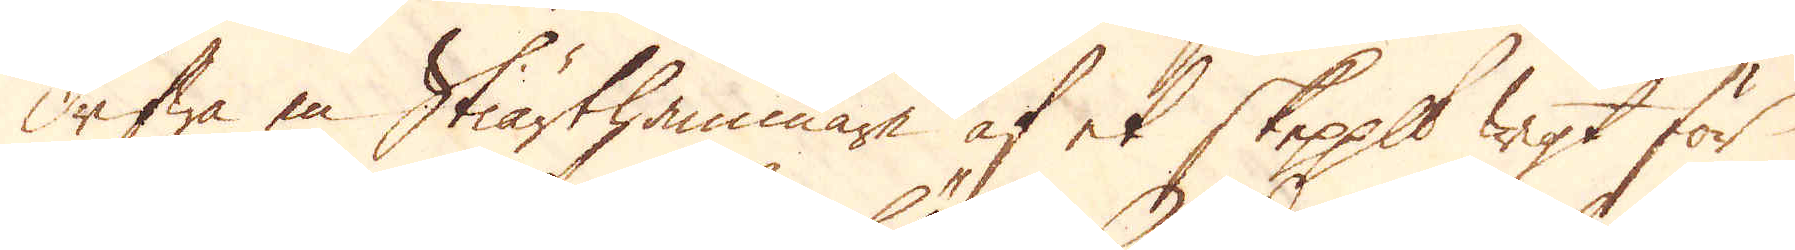drifwa en Stiärthammare af et skeppund wigt för
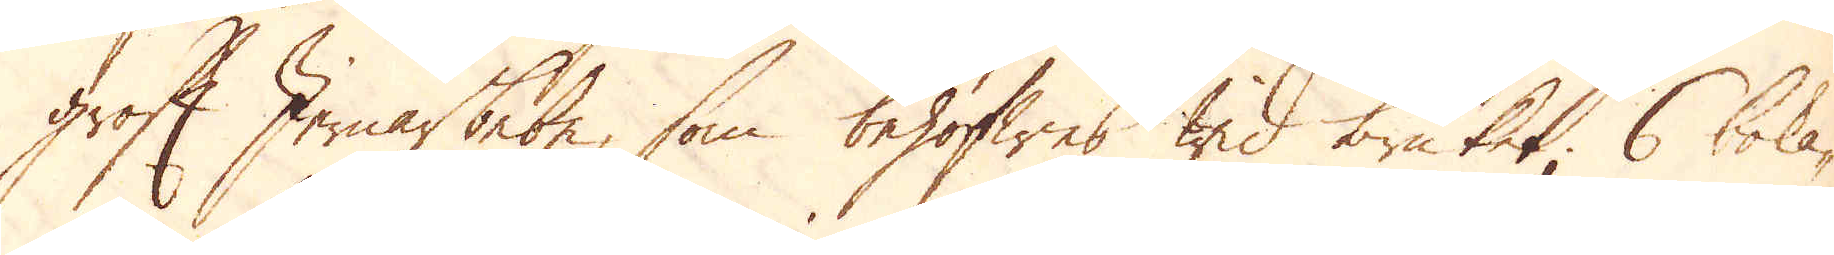Groft Jernarbete, som behöfwes wid bruket, 6 boka-
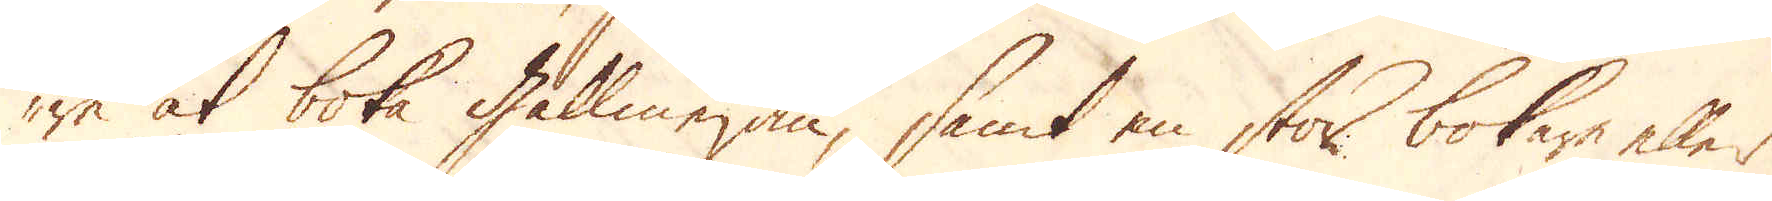re at boka gallmejan, samt en stor bokare eller
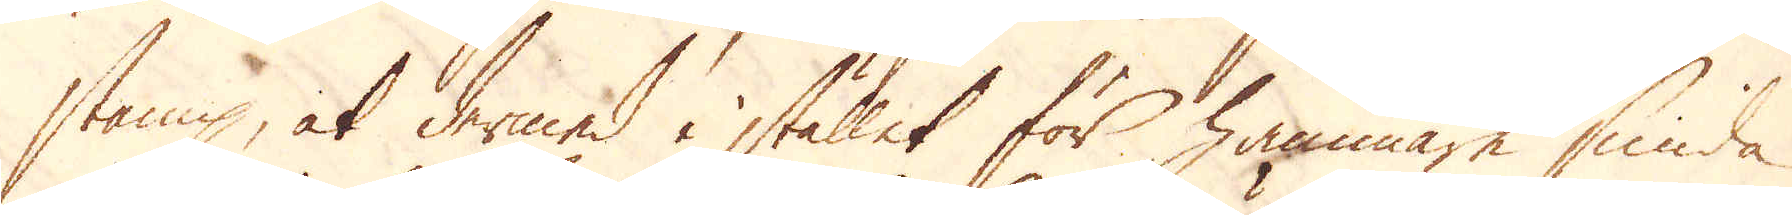stamp, at dermed i stället för hammare smida
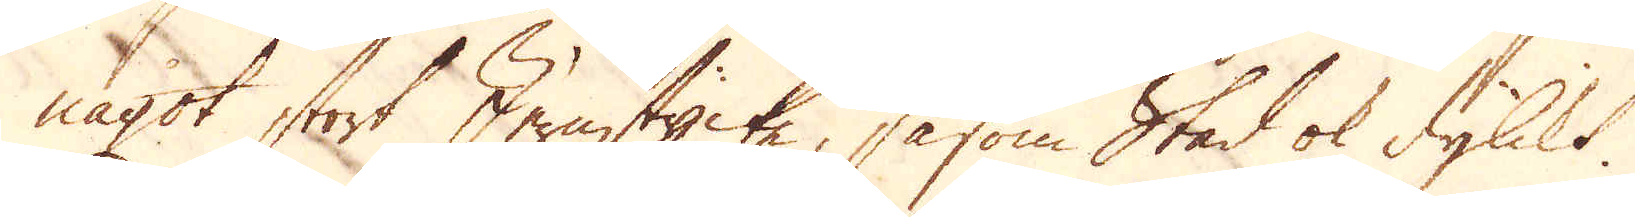något stort Jernstycke, såsom Städ ok dylikt.
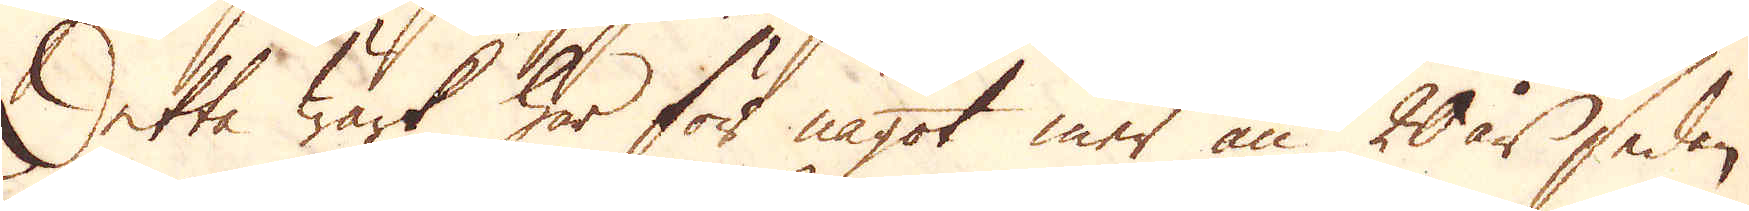Detta Wärk har för något mer än 20 år sedan
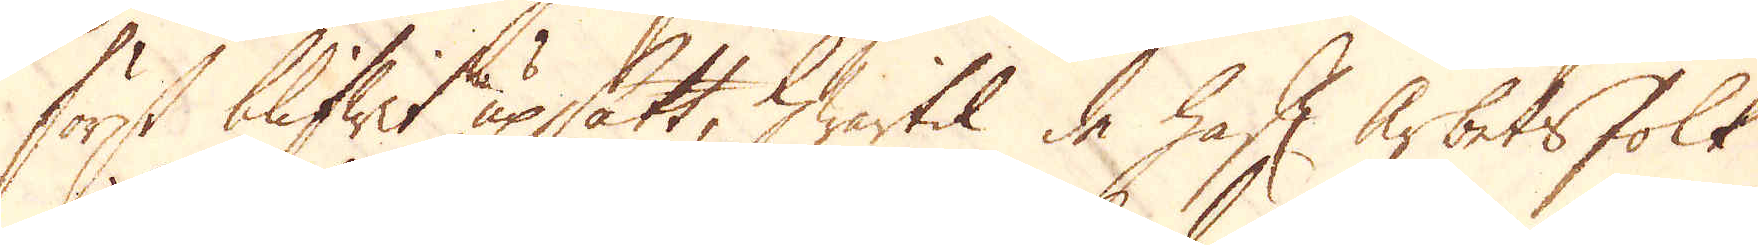först blifwit upsatt, hwartil de haft arbetsfolk
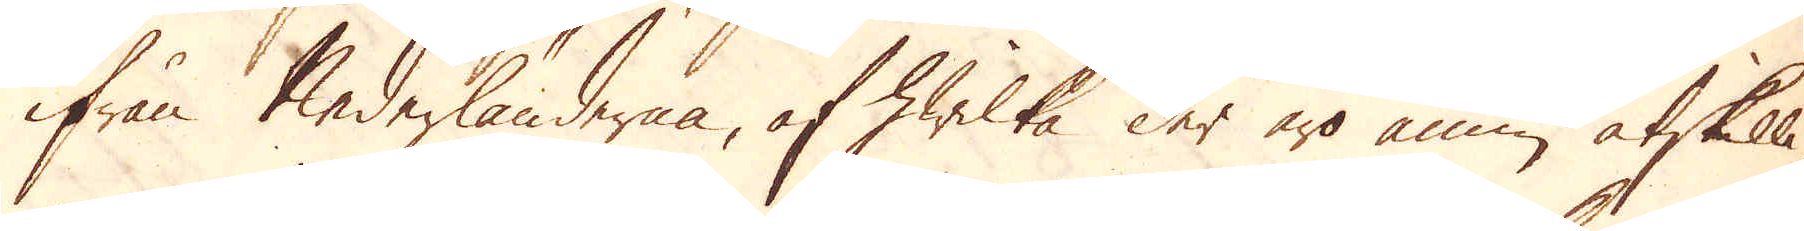ifrån Nederländerna, af hwilka der äro ännu åtskilli-
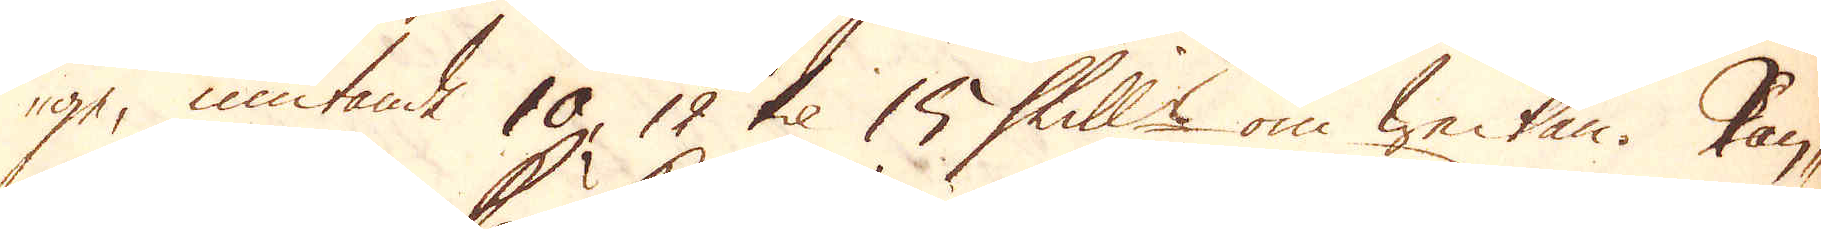ge, niutande 10, 12 til 15 Skill:r om weckan. Pan-
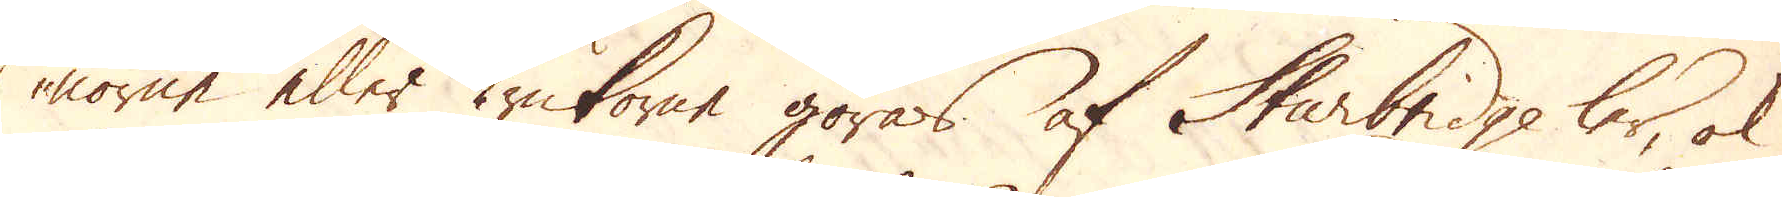norne eller krukorne göras af Sturbridge ler, ok
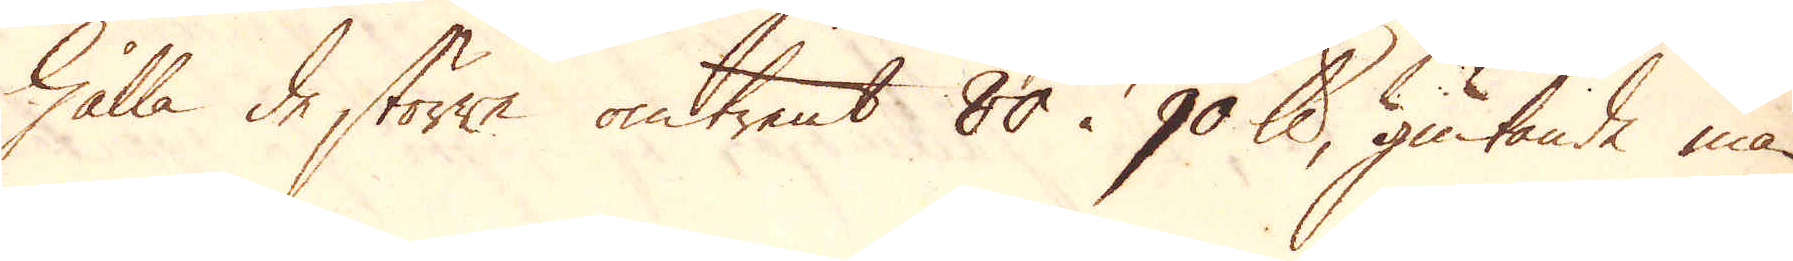hålla de större omtrent 80 à 90 skålpund, giutande man
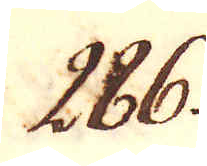286.
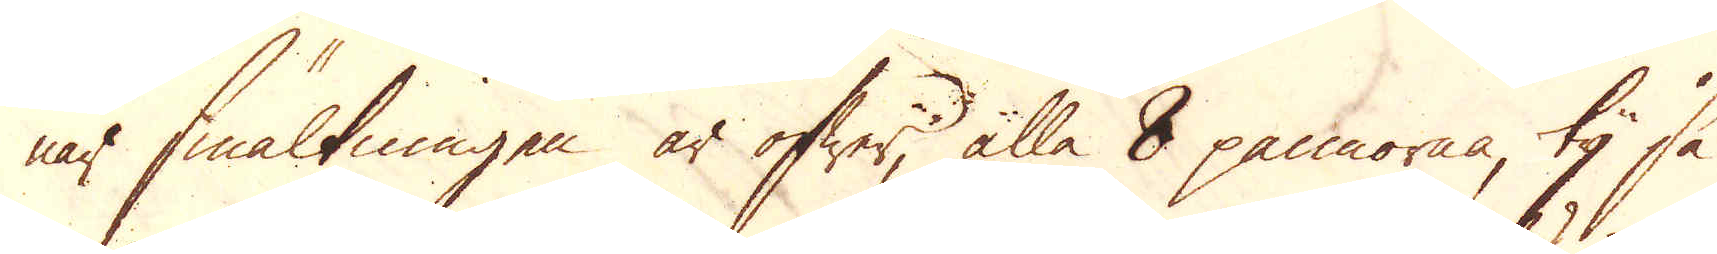när smältningen är öfwer, alla 8 pannorna, ty så
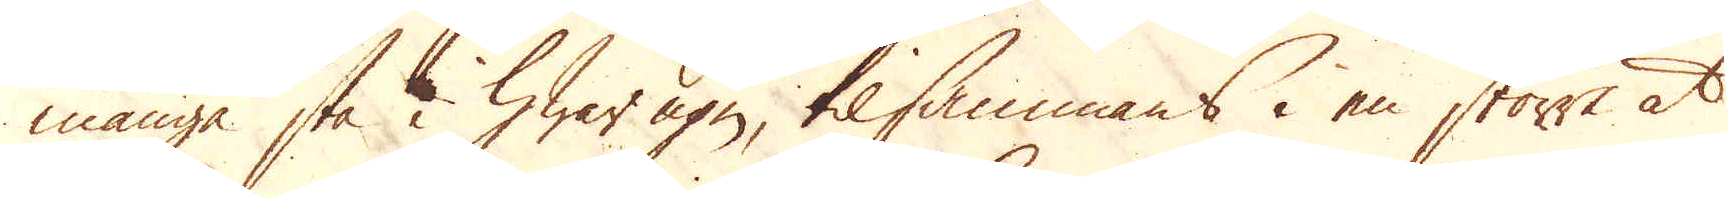många stå i hwar ugn, tilsammans i en större at
